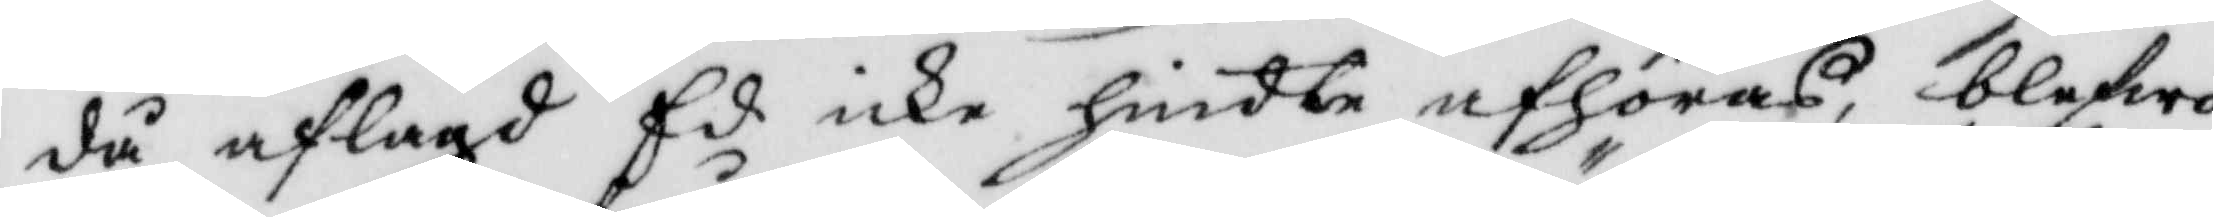då aflagd Ed icke hindte afhöras, blefwo
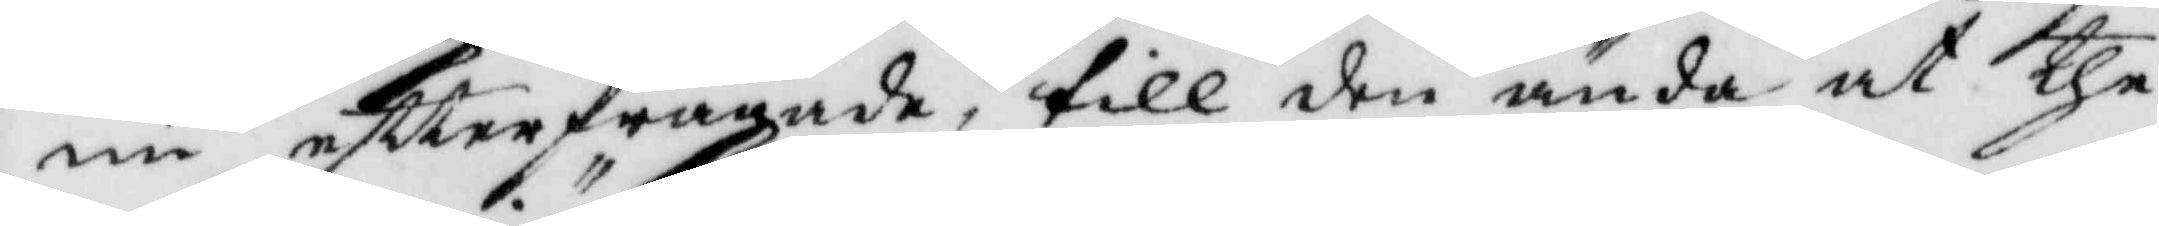nu eftterfrågade, till den ända at the
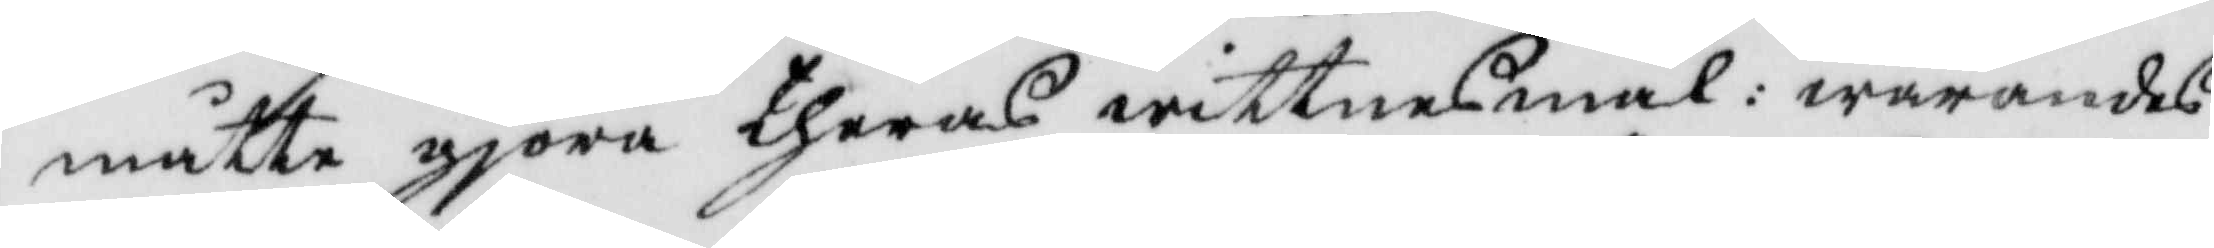måtte gjöra theras wittnesmål: warandes
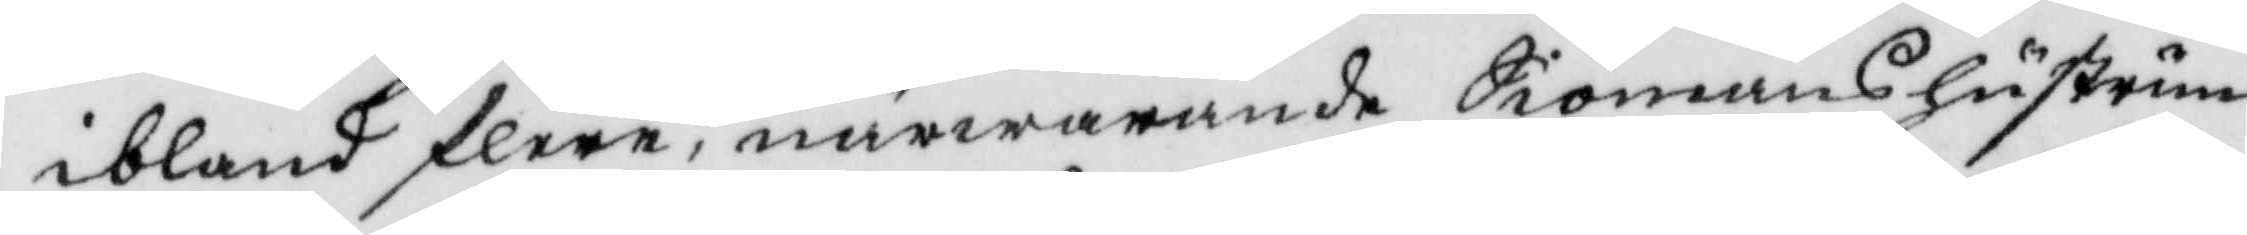ibland flere, närwarande Siömanshustrun
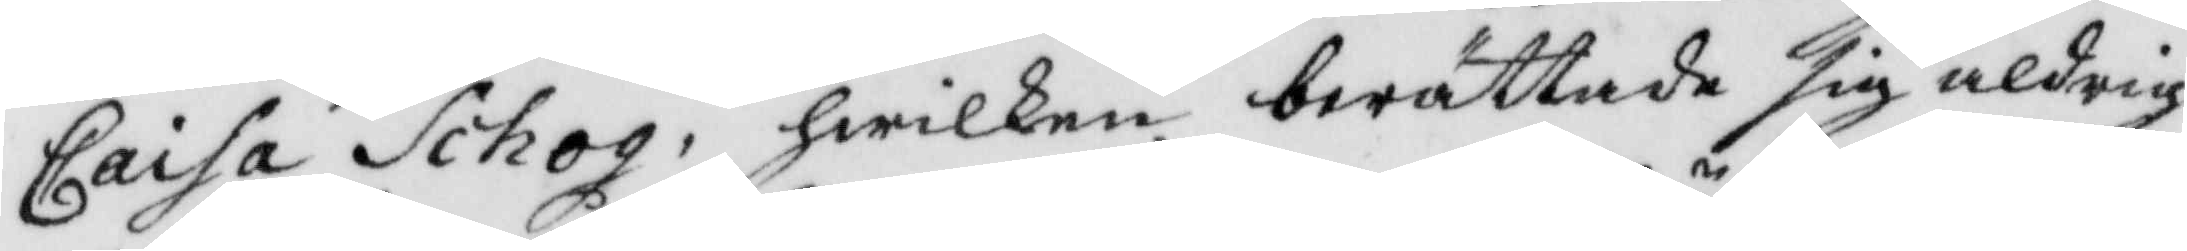Caisa Schog, hwilken berättade sig aldrig
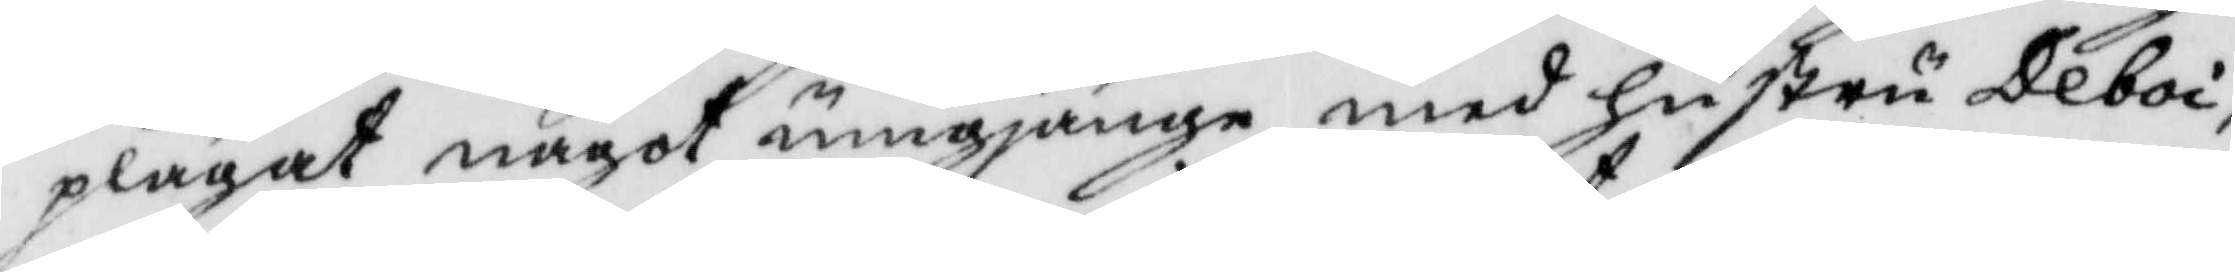plägat något umgjänge med hustru Deboi,
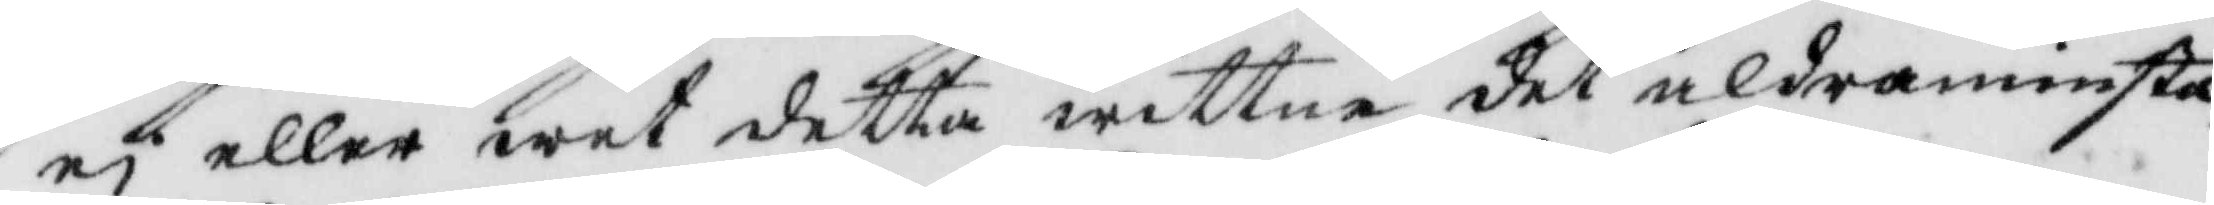ej eller wet detta wittne det aldramisnta
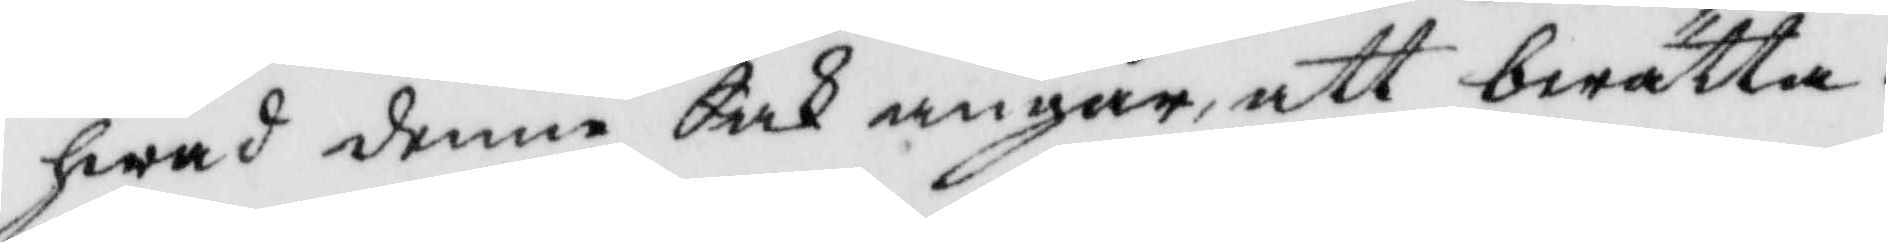hwad denne Sak angår, att berätta.
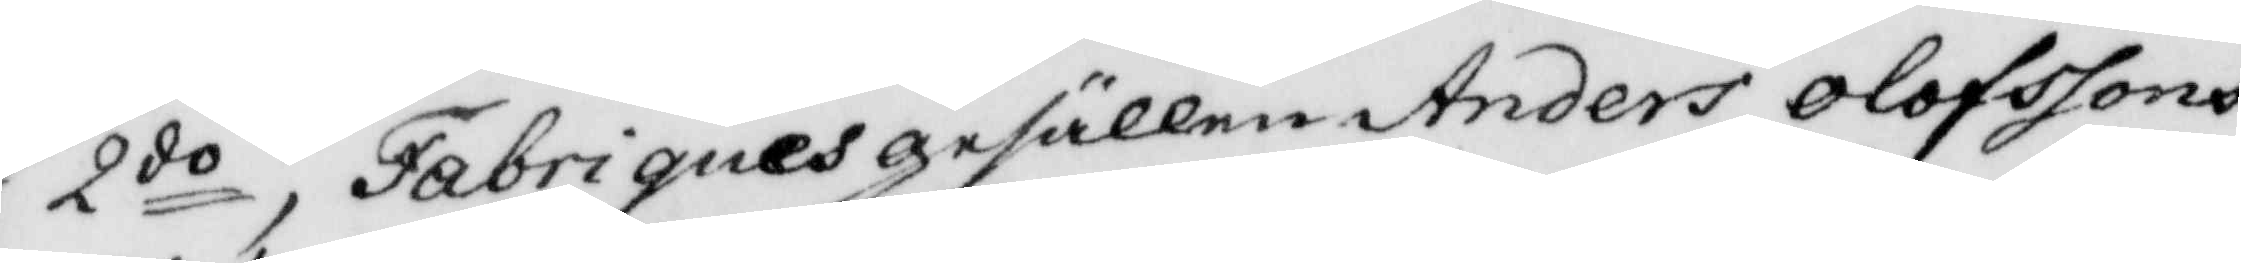2do, Fabriquesgesällen Anders Olofssons
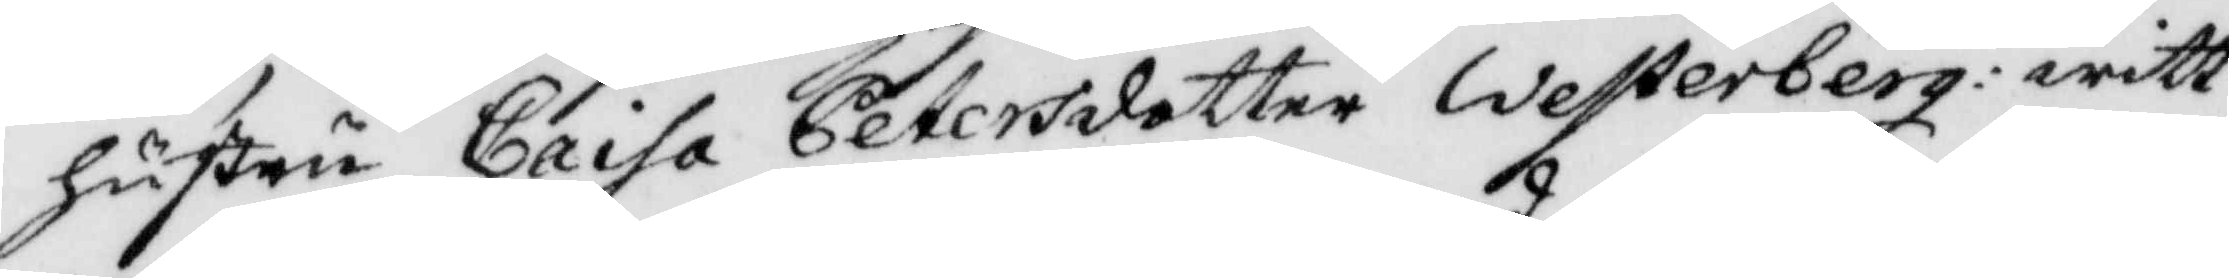hustru Caisa Petersdotter Westerberg: witt¬
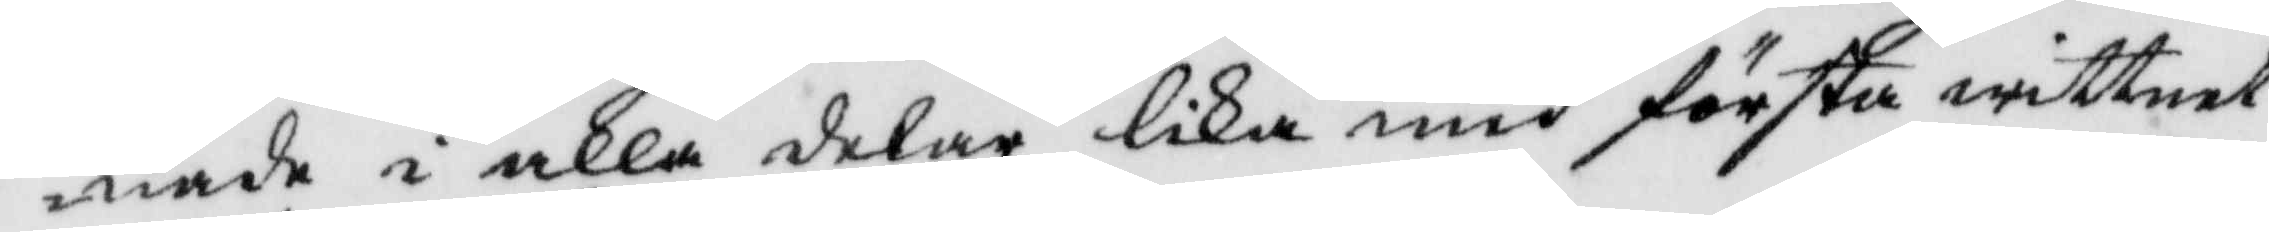nade i alla delar lika med första wittnet
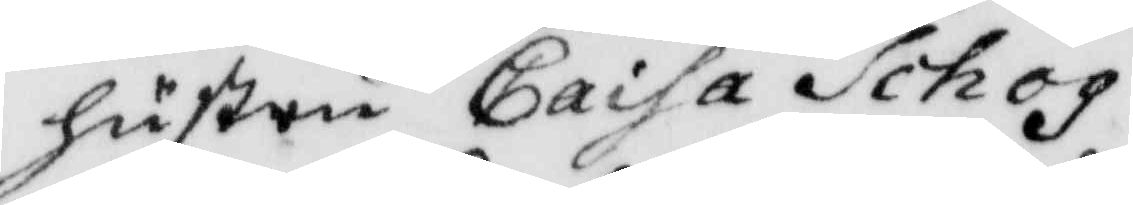hustru Caisa Schog.
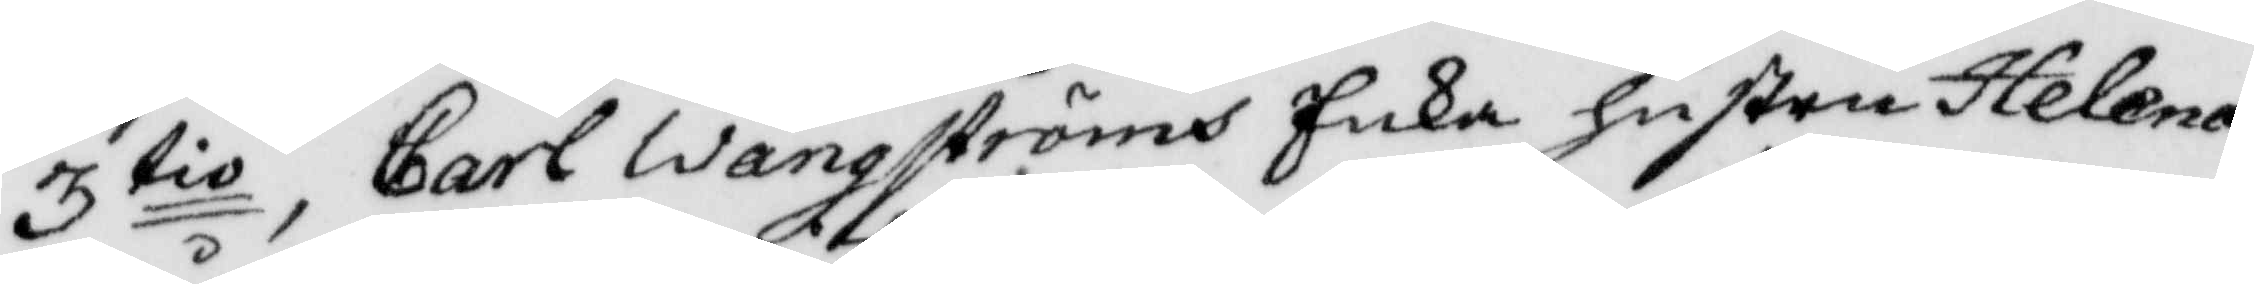3 tio, Carl Wångströms Enka hustru Helena
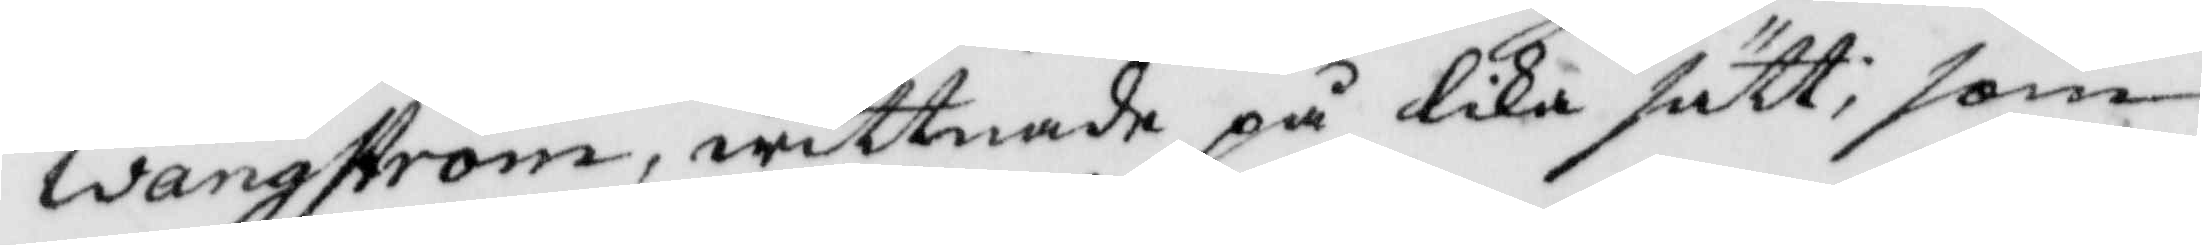Wångström, wittnade på lika sätt; som
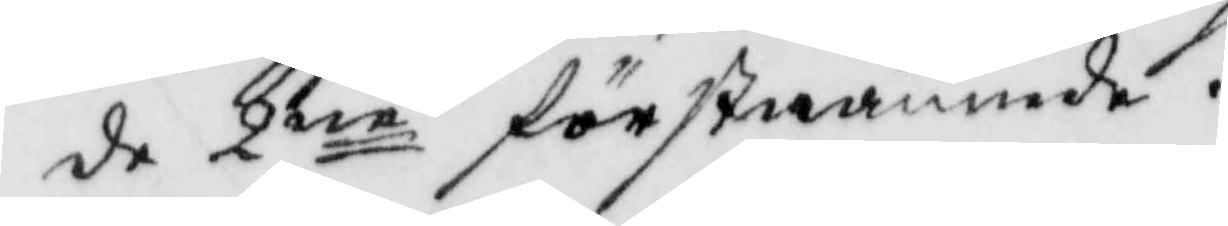de 2ne förstnämnde.
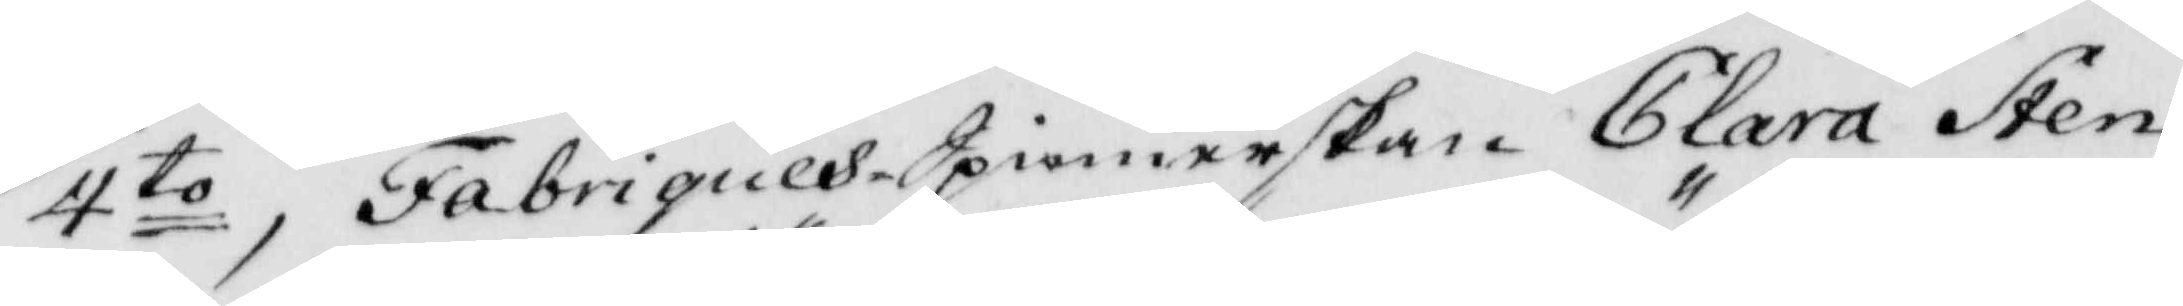4 to, FabriquesSpinnerskan Clara Sten¬
